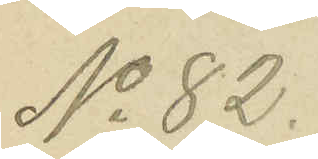No 82.
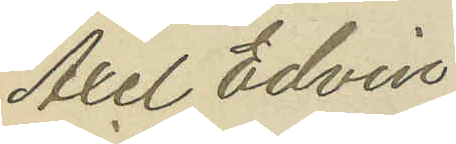Axel Edvin
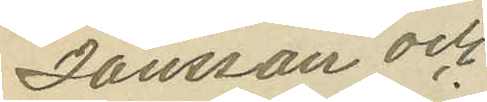Jansson och
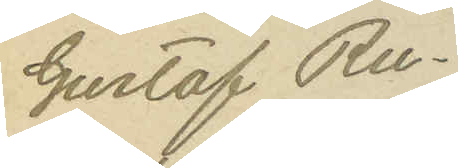Gustaf Ru¬
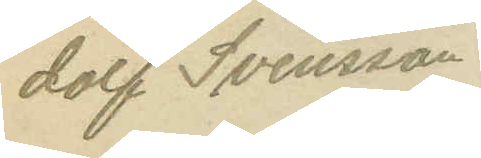dolf Svensson
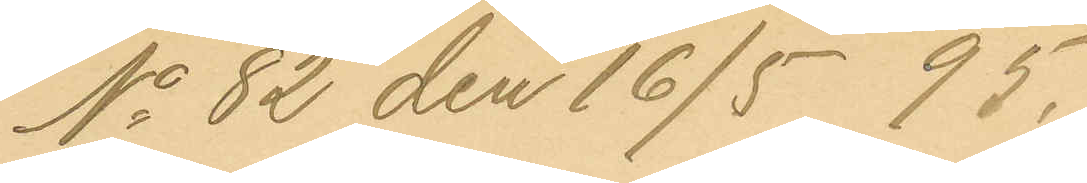No 82 den 16/15 95.
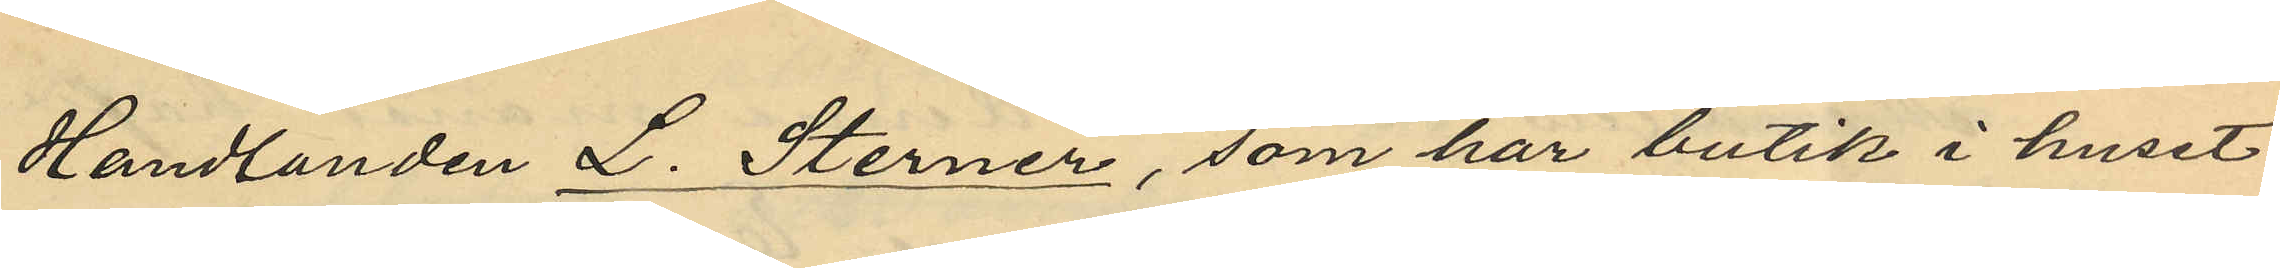Handlanden L. Sterner, som har butik i huset
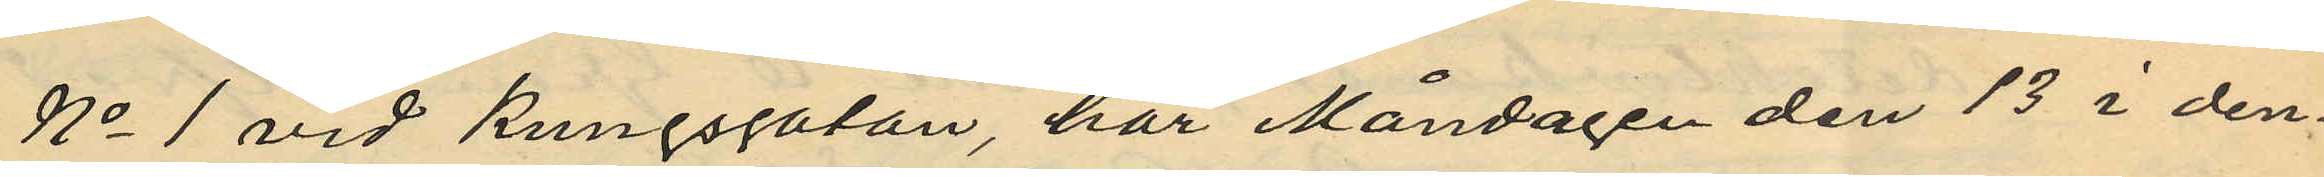No 1 vid Kungsgatan, har Måndagen den 13 i den¬
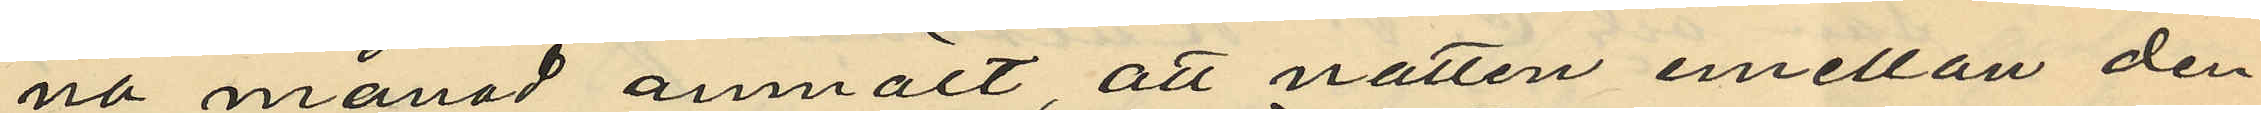na månad anmält, att natten emellan den
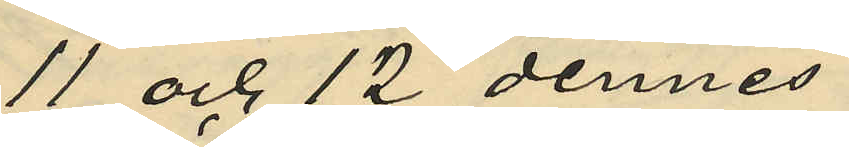11 och 12 dennes
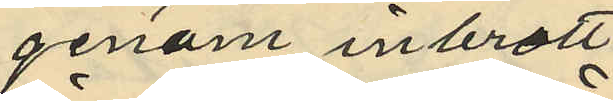genom inbrott
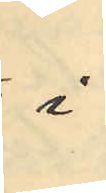å
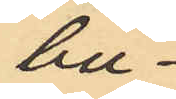but¬
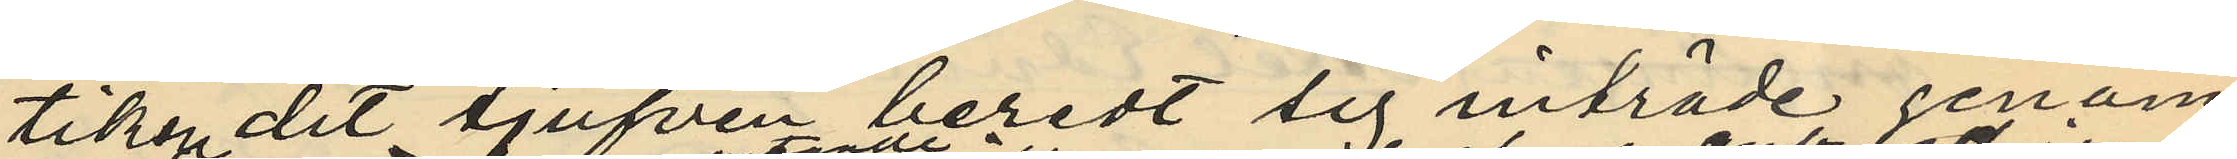tiken tjufven beredt sig inträde genom
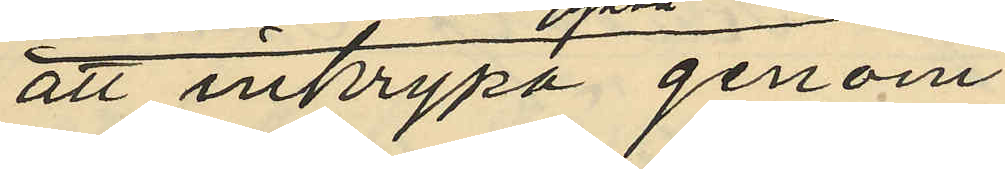att inkrypa genom
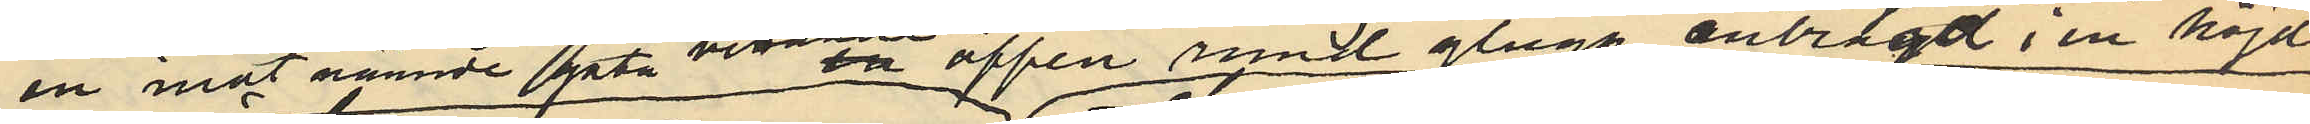en mot nämnde gata vid öppen rund glugg anbragt i en höjd
